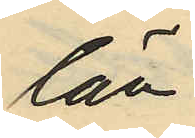län,
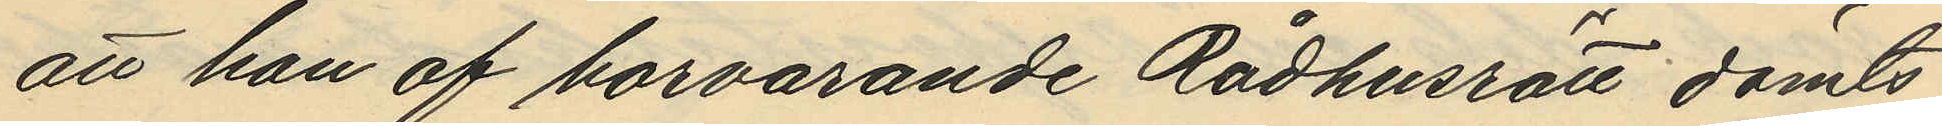att han af härvarande Rådhusrätt dömts
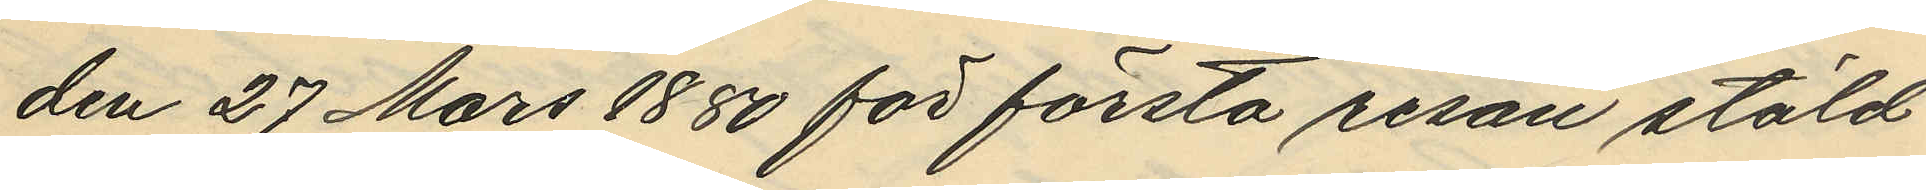den 27 Mars 1880 för första resan stöld
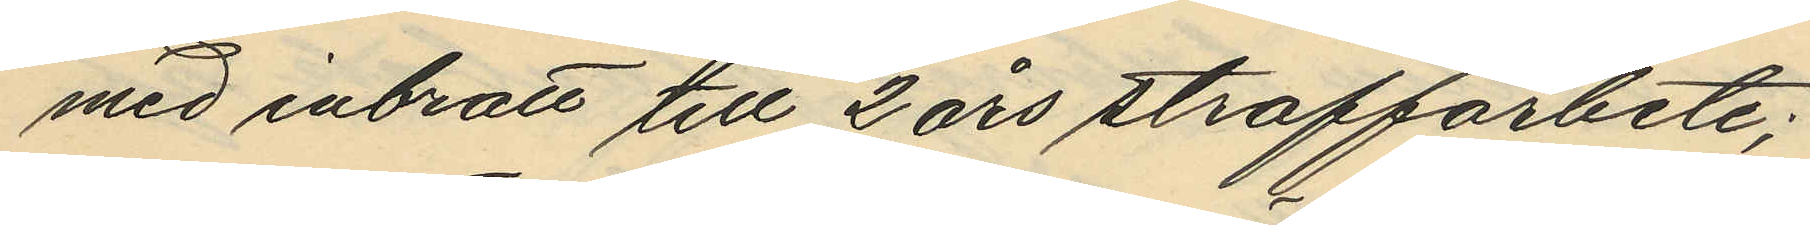med inbrott till 2 års straffarbete;
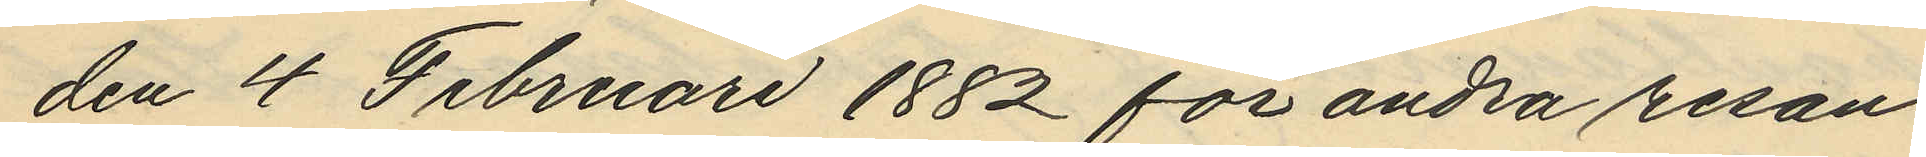den 4 Februari 1882 för andra resan
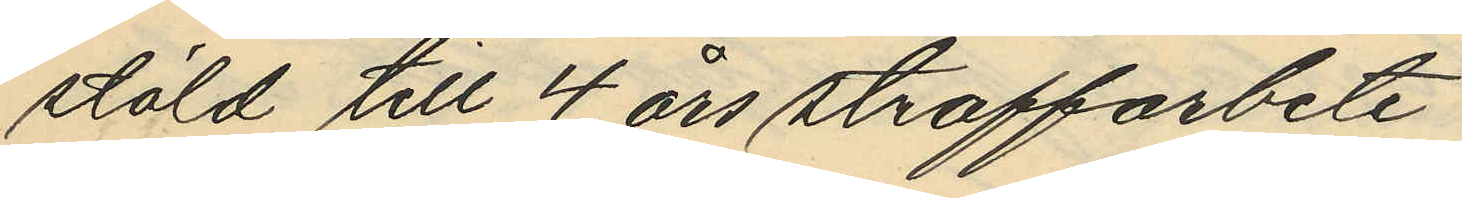stöld till 4 års straffarbete
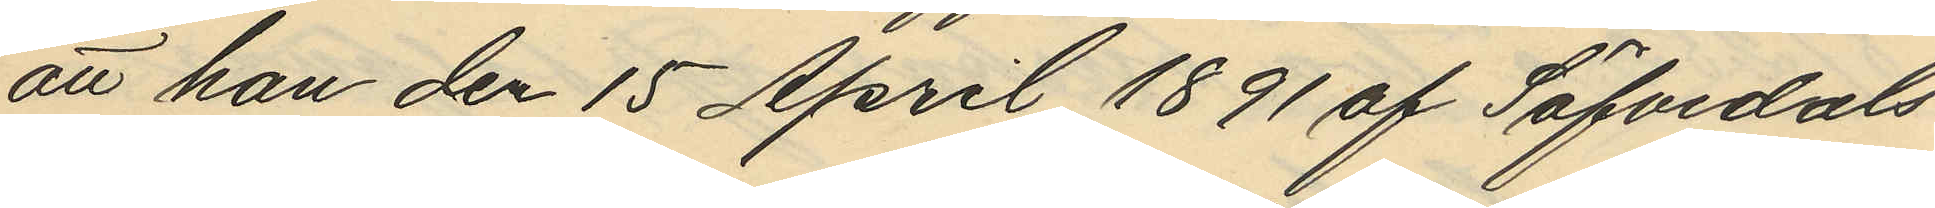att han den 15 April 1891 af Säfvedals
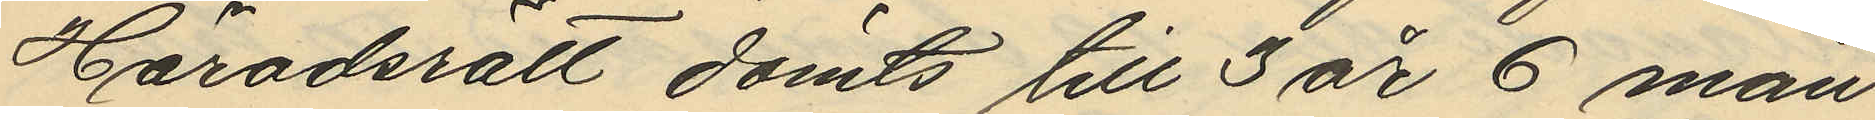Häradsrätt dömts till 3 år 6 mån
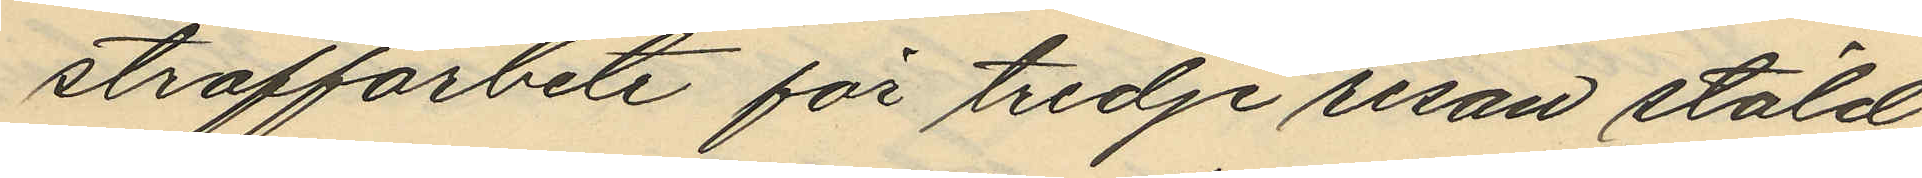straffarbete för tredje resan stöld
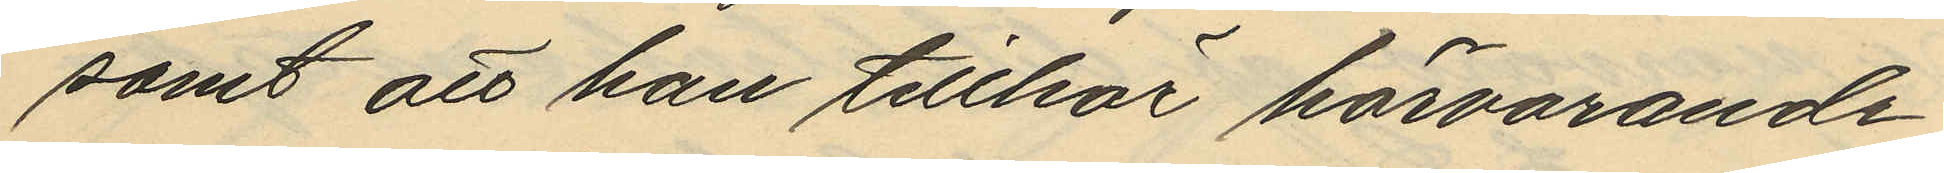samt att han tillhör härvarande
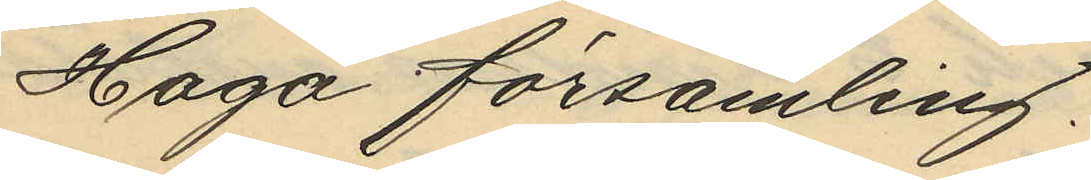Haga församling.
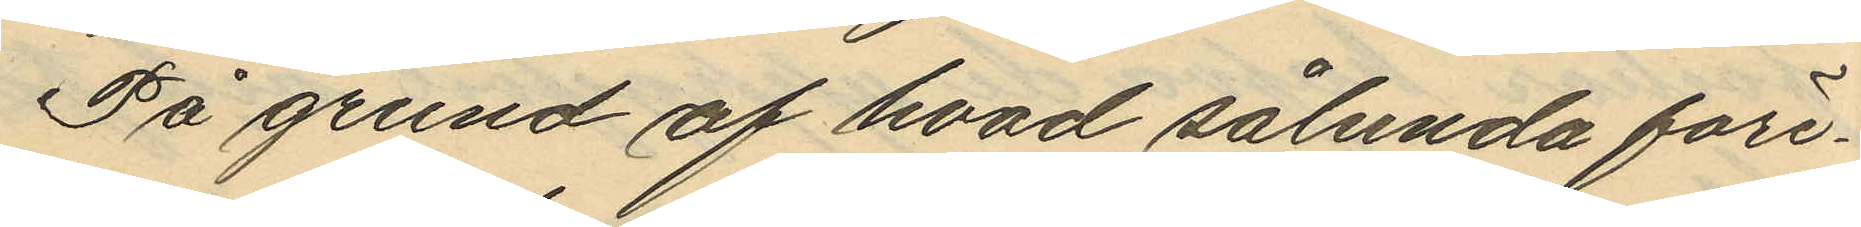På grund af hvad sålunda före¬
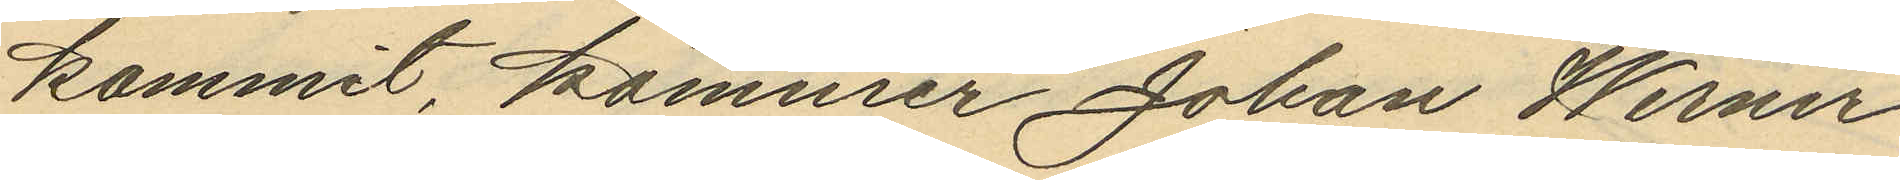kommit, kommer Johan Werner
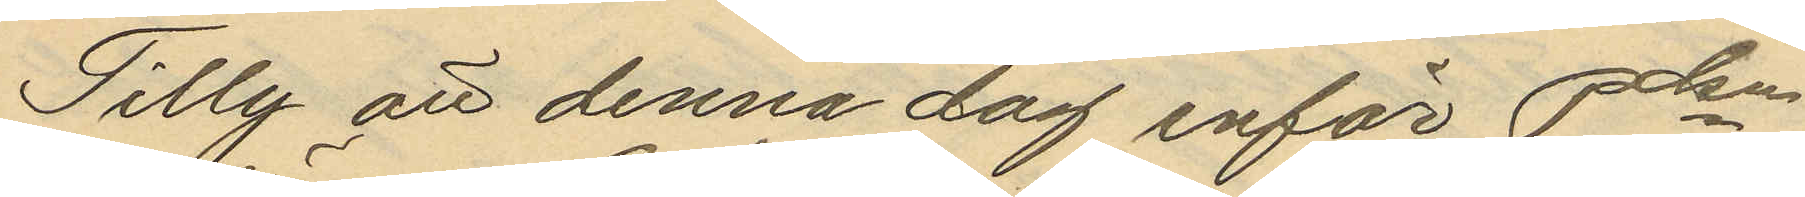Tilly att denna dag inför Polisen
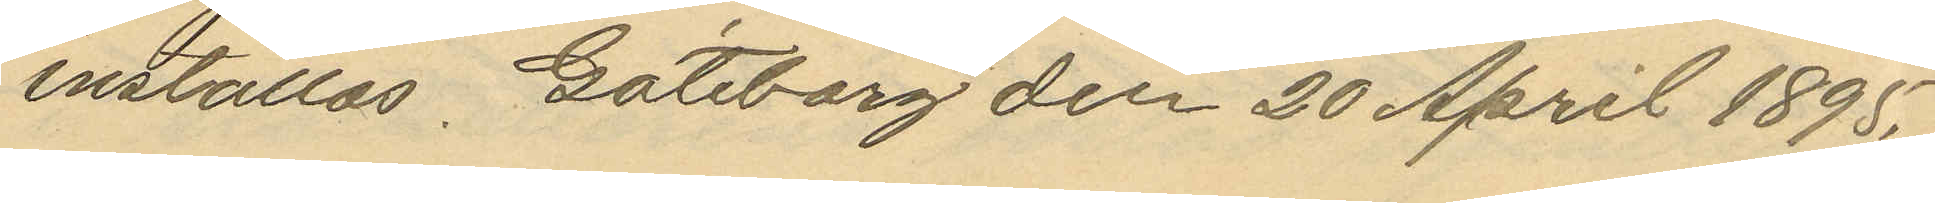inställas. Göteborg den 20 April 1895.
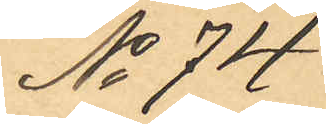No 74
